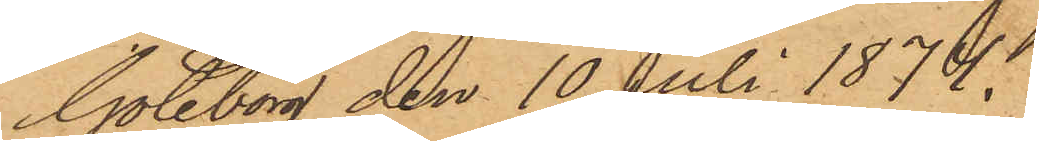Göteborg den 10 Juli 1874.
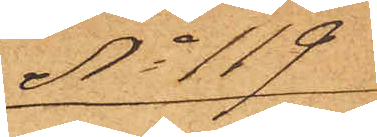No 119
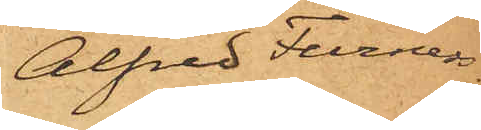Alfred Furness
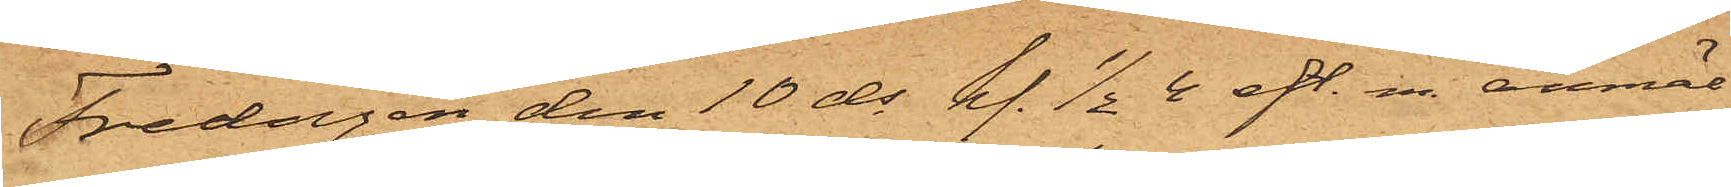Fredagen den 10 ds kl. ½4 eft. m. anmäl¬
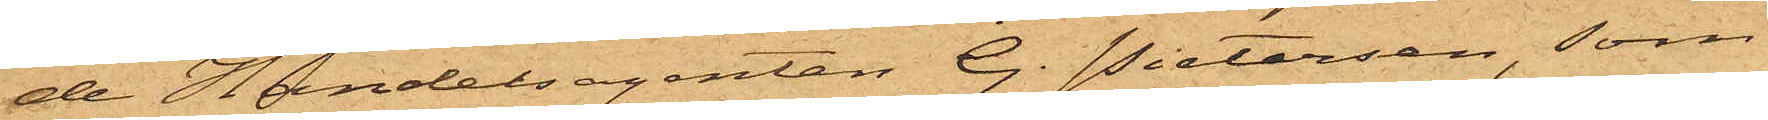de Handelsagenten G. Pietersen, som
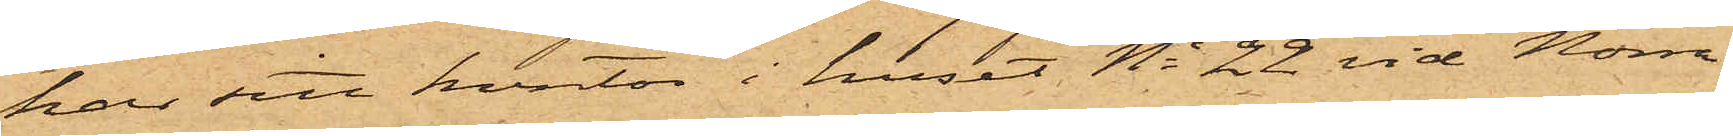har sitt kontor i huset No 22 vid Norra
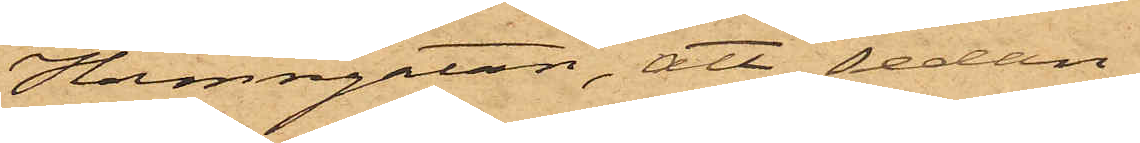Hamngatan, att sedan
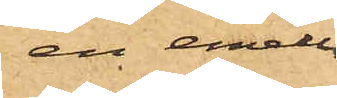en emellan
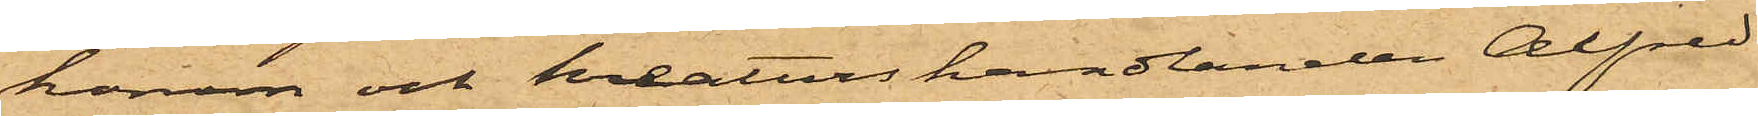honom och kreaturshandlanden Alfred
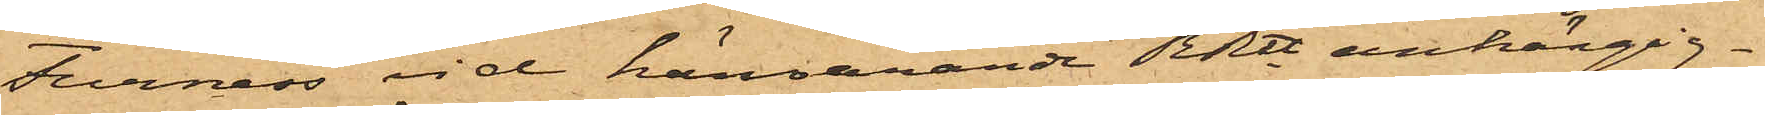Furness vid härvarande RRtt anhängig¬
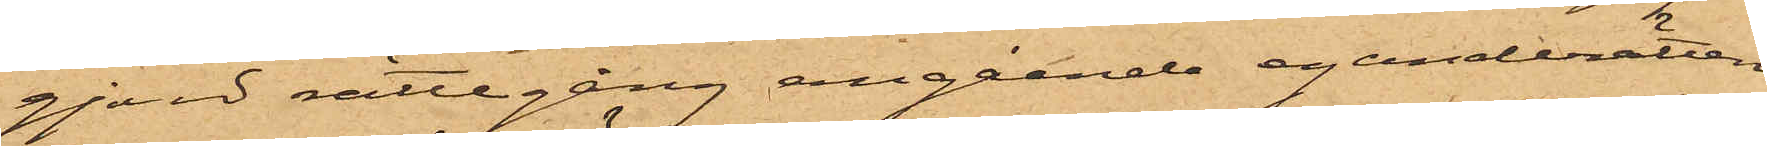gjord rättegång angående eganderätten
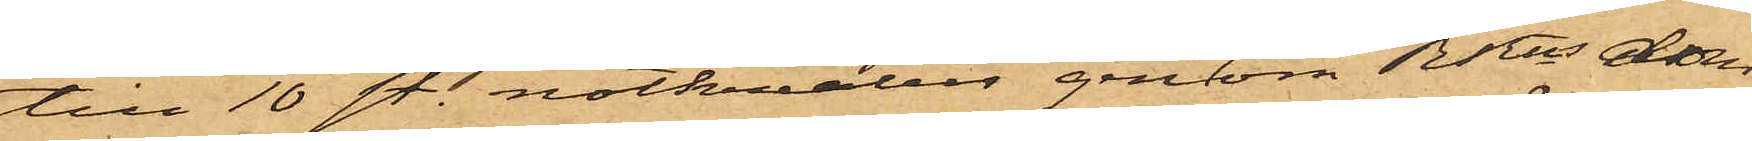till 10 sty. nötkreatur genom RRns dom
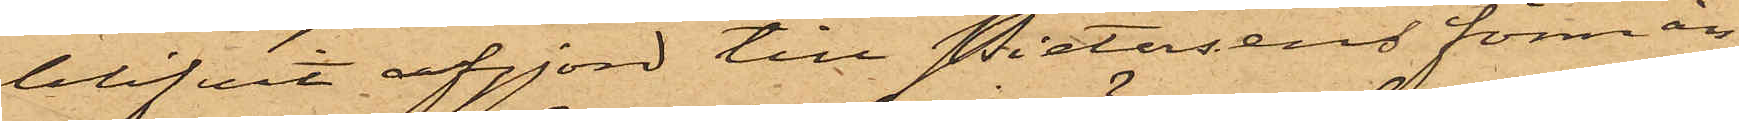blifvit afgjord till Pietersens förmån
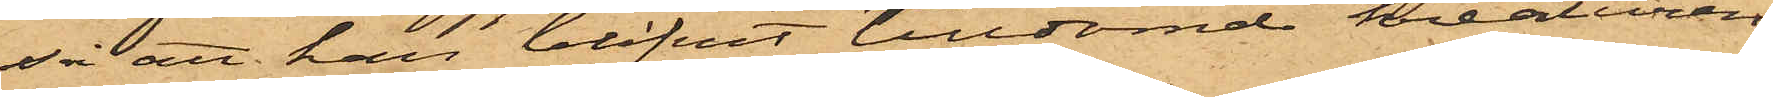så att han blifvit tilldömd kreaturen
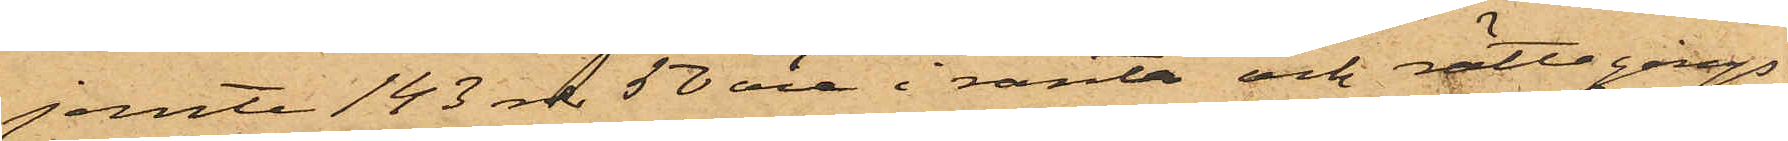jemte 143 rdr 50 öre i ränta och rättegångs¬
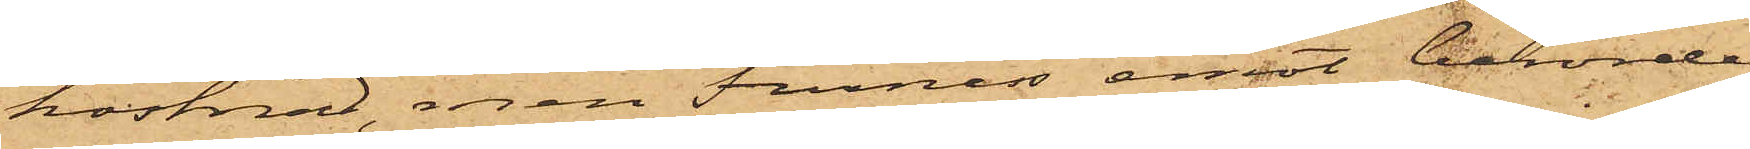kostnad, men Furness emot berörde
